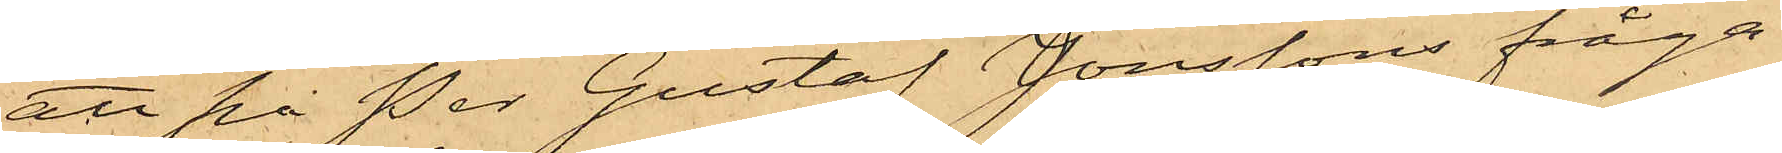att på Per Gustaf Jonssons fråga
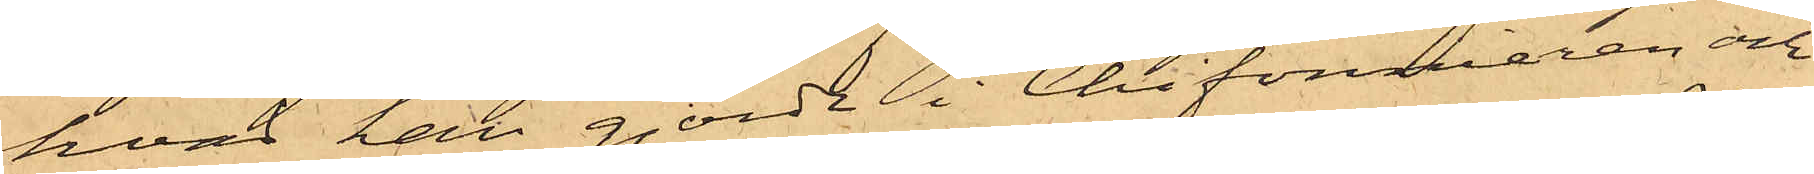hvad han gjordt i Chifonnieren och
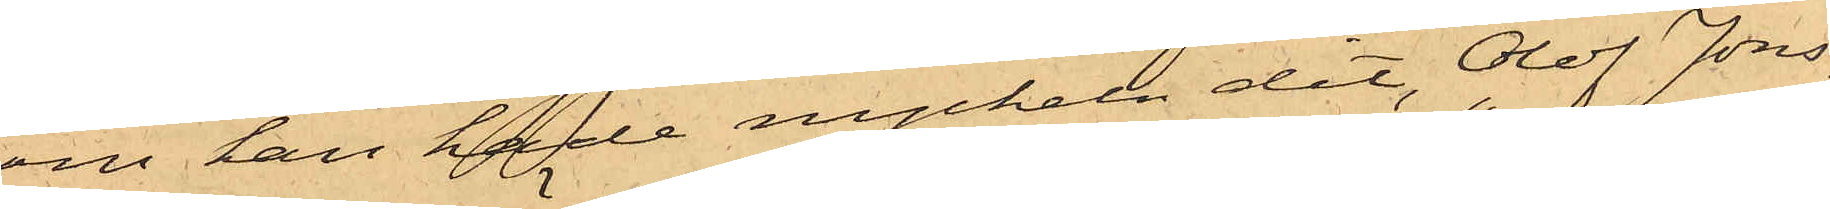om han hade nyckeln dit, Olof Jons¬
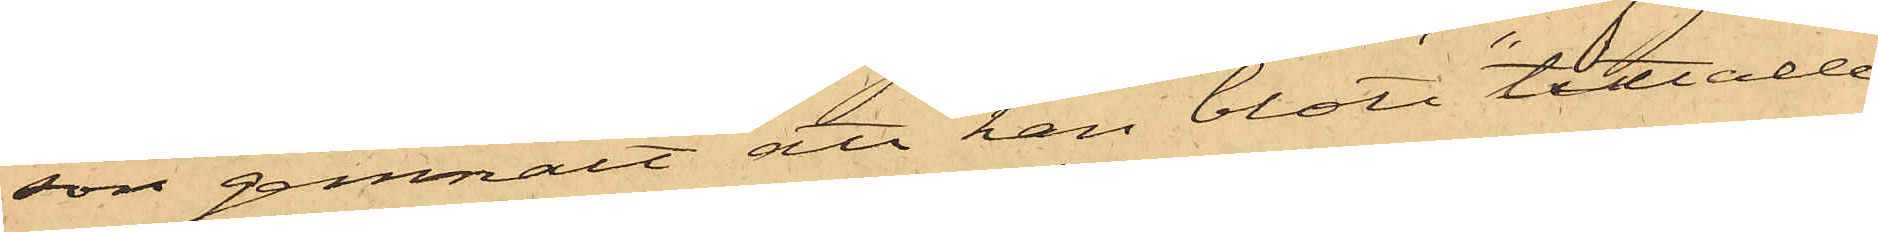son genmält att han blott "tittade
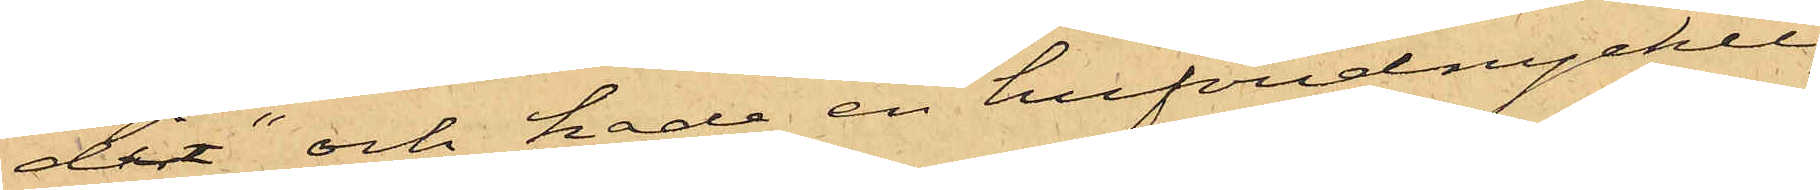dit" och hade en hufvudnyckel,
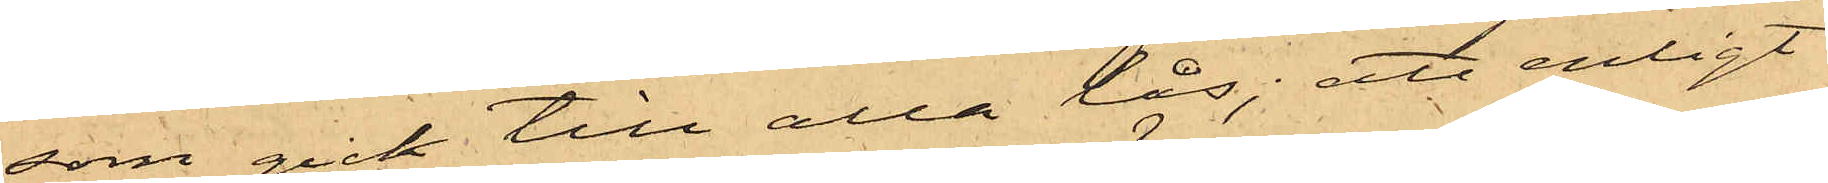som gick till alla lås; att enligt
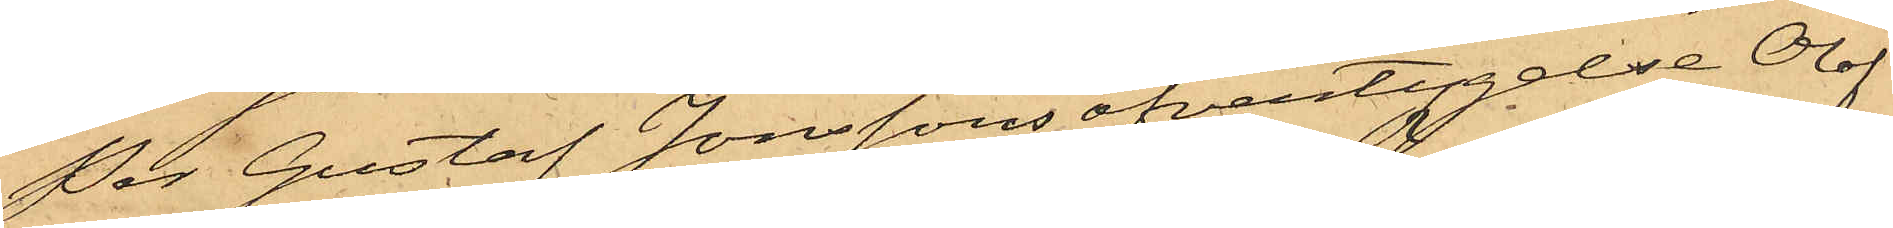Per Gustaf Jonssons öfvertygelse Olof
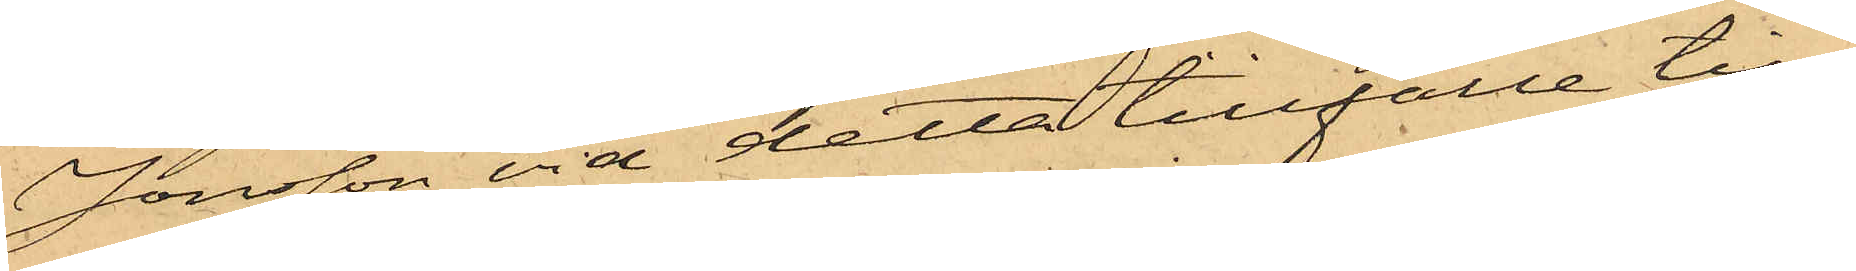Jonsson vid detta tillfälle till¬
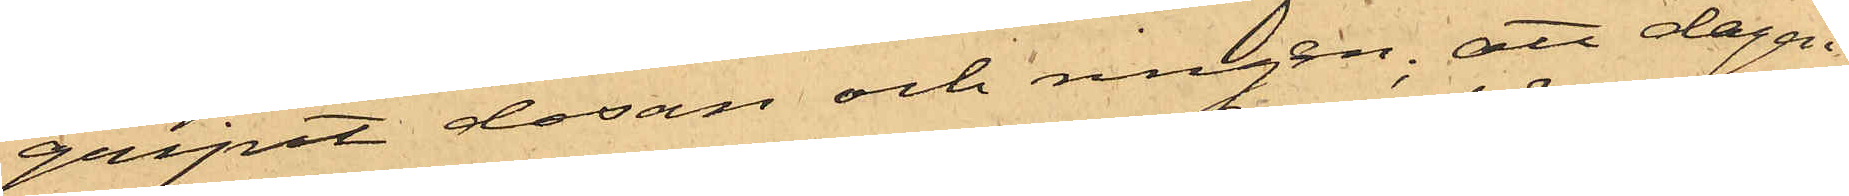gripit dosan och ringen; att dagen
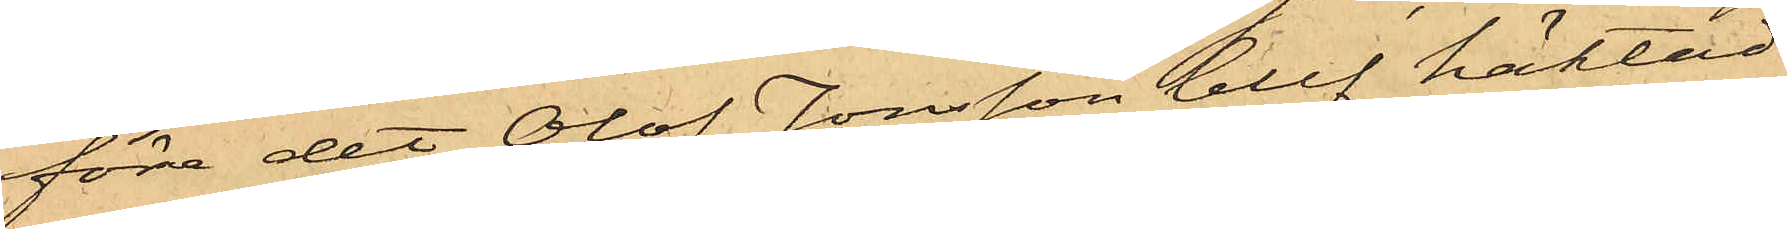före det Olof Jonsson blef häktad
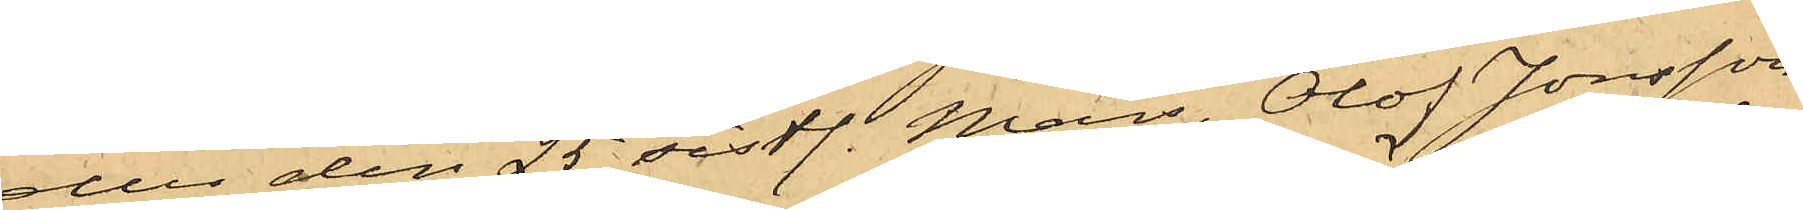eller den 25 sistl. Mars, Olof Jonsson
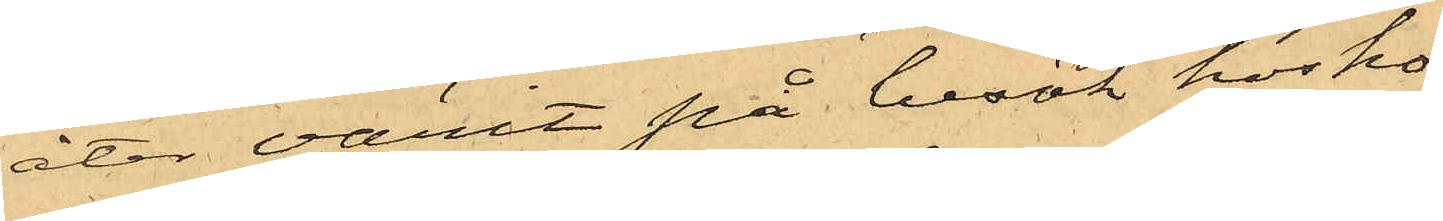åter varit på besök hos ho¬
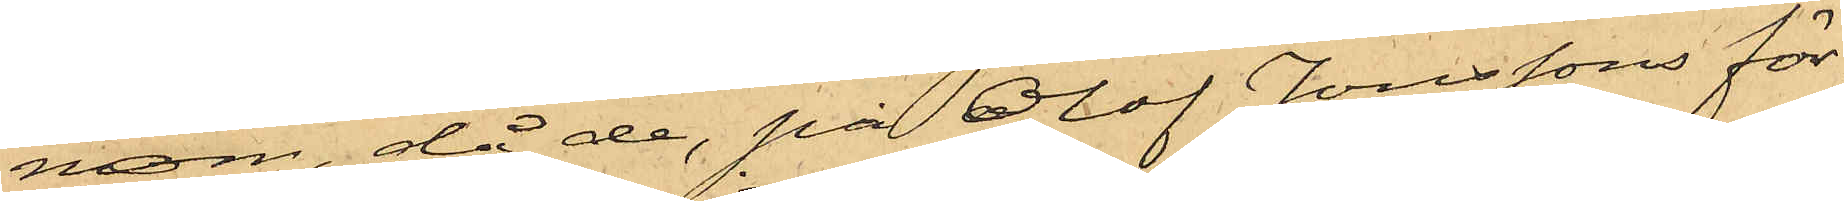nom, då de, på Olof Jonssons för¬
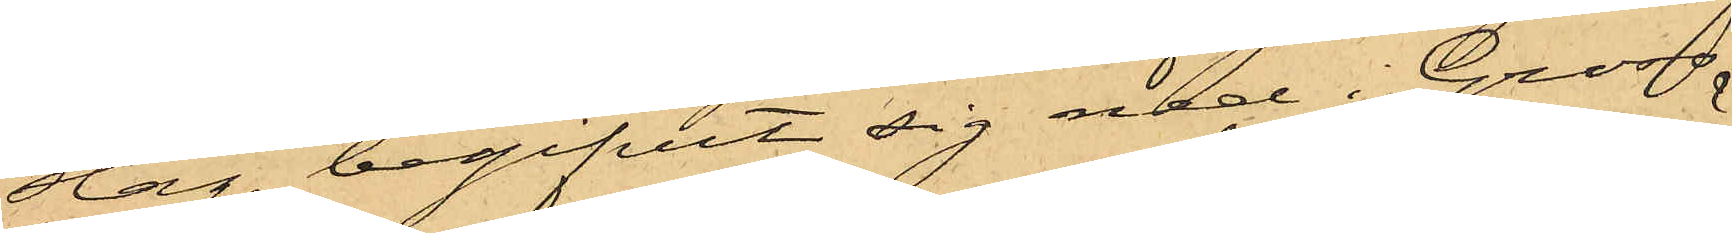slag, begifvit sig ned i Gross¬
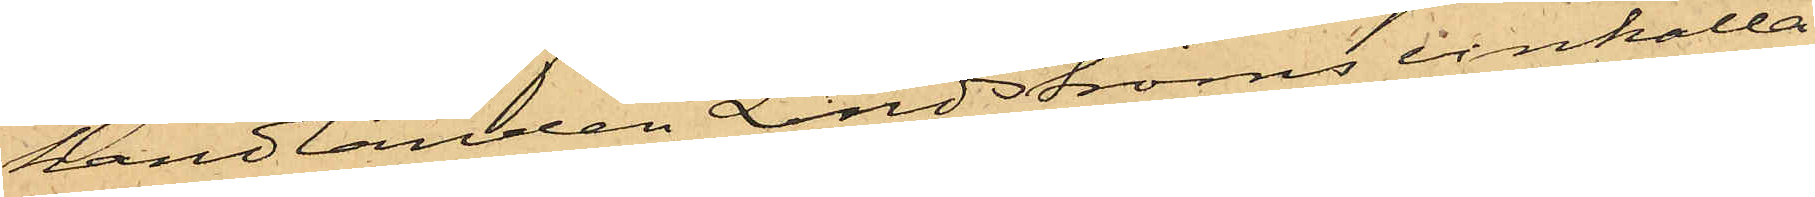handlanden Lindströms vinkälla¬
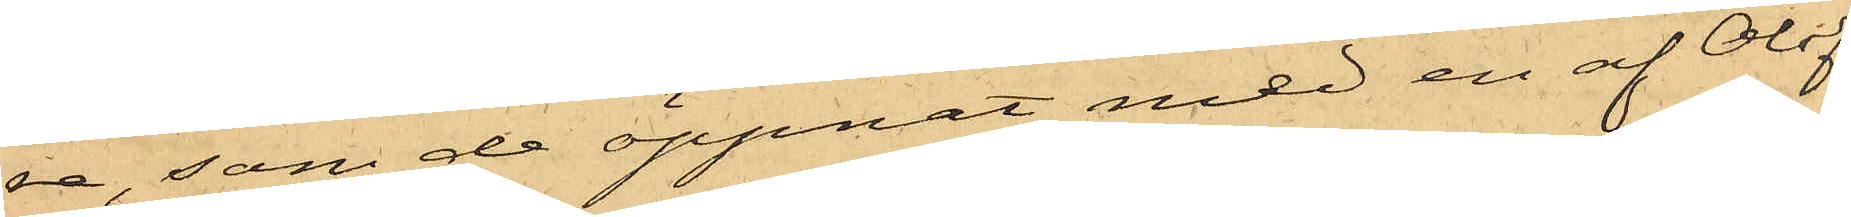re, som de öppnat med en af Olof
